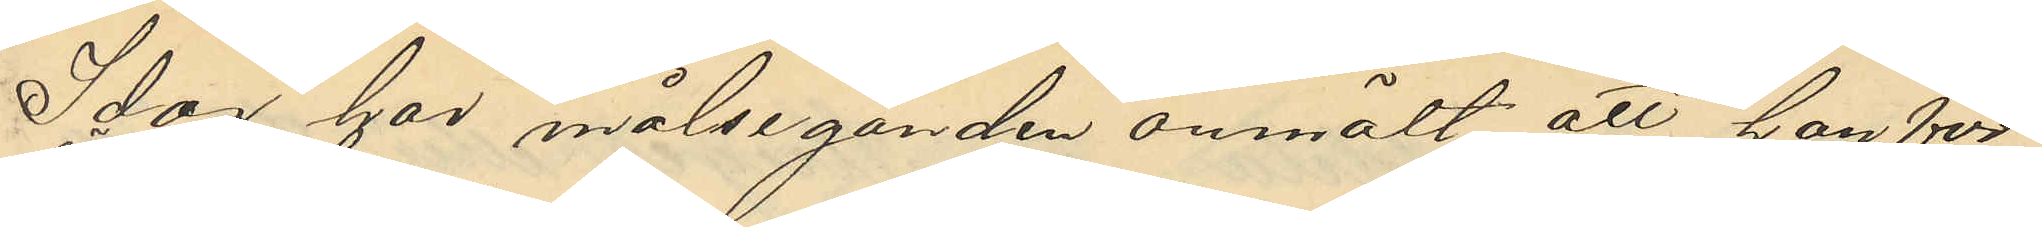Idag har målseganden anmält att han för
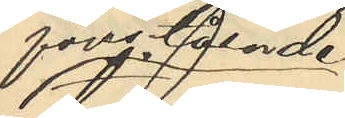förövade
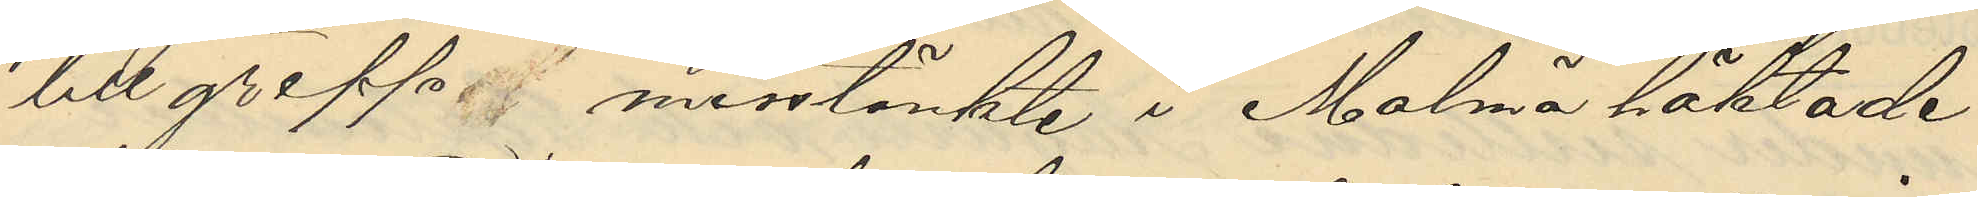tillgrepp misstänkte i Malmö häktade,
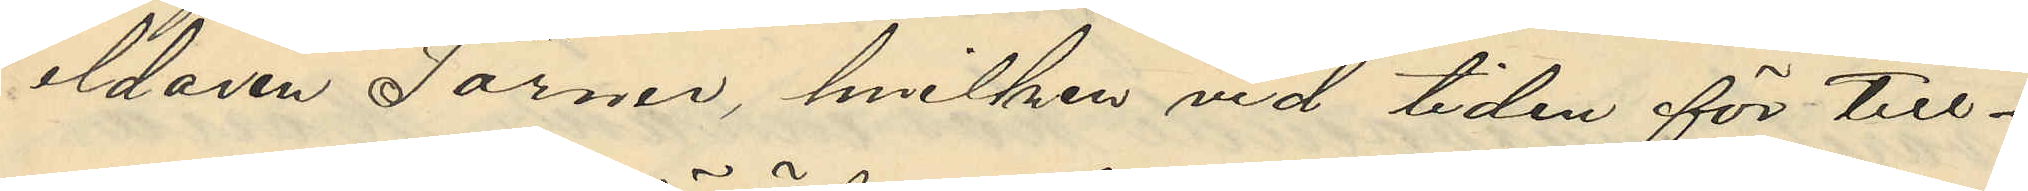eldaren Törner, hvilken vid tiden för till¬
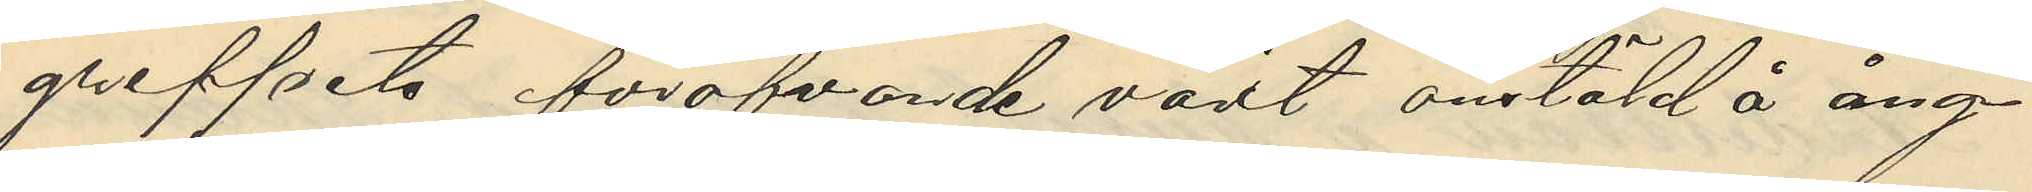greppets föröfvande varit anstäld å ång¬
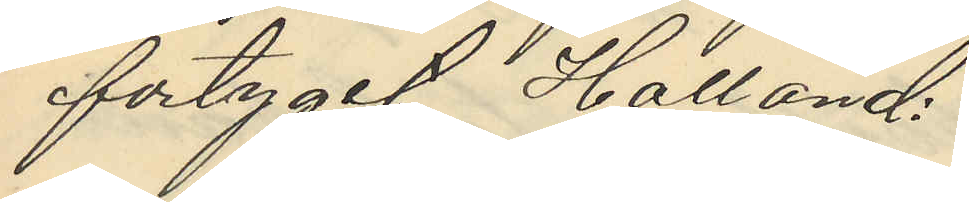fartyget, "Halland".
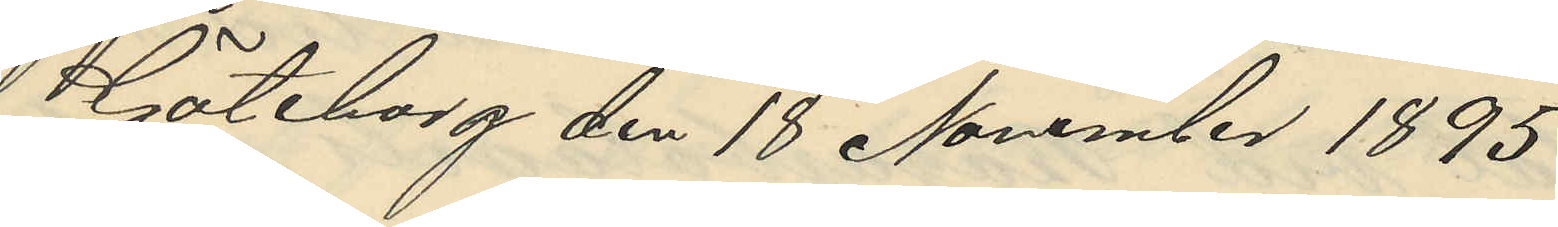i Göteborg den 18 November 1895
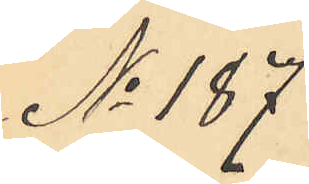No 187
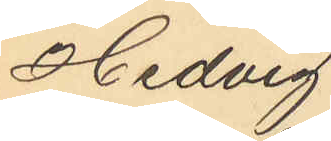Hedvig
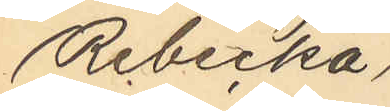Rebecka
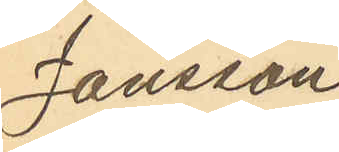Jansson
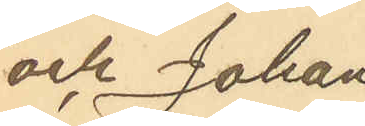och Johan¬
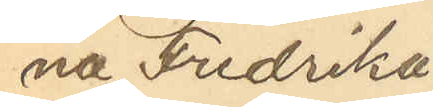na Fredrika
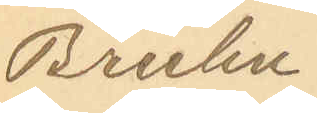Bruhn.
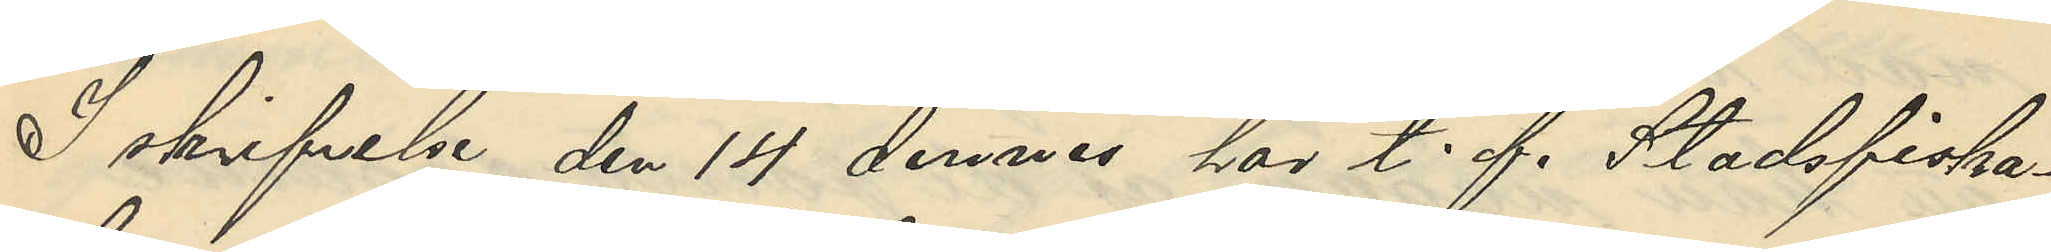I skrifvels den 14 dennes hos t. f. Stadsfiska¬
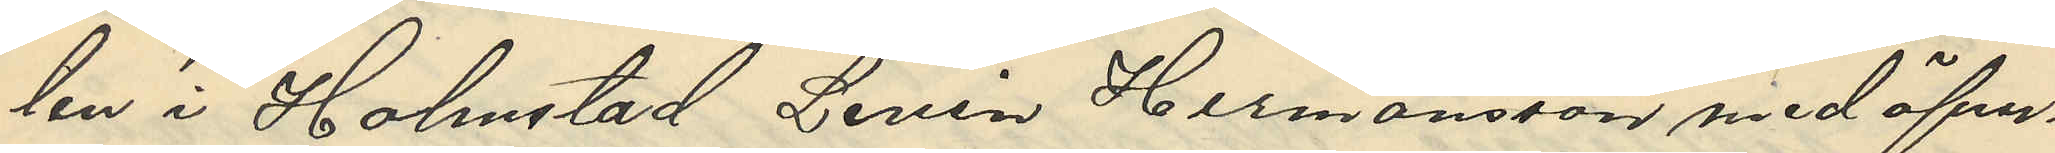len i Halmstad Levin Hermansson med öfver¬
